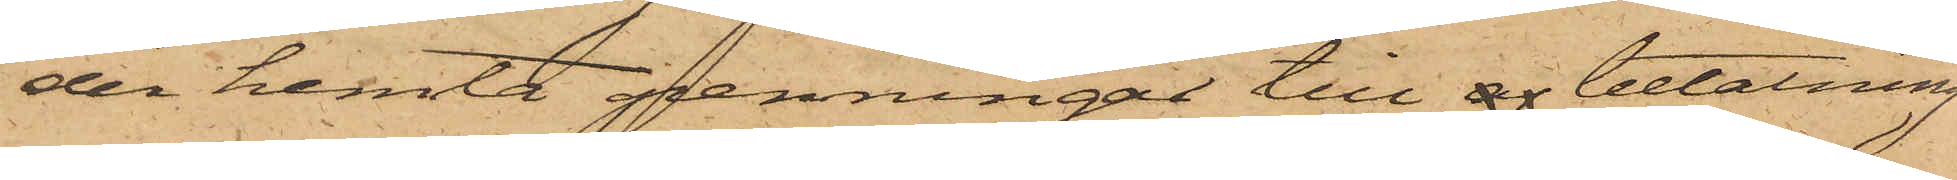der hemta penningar till af betalning
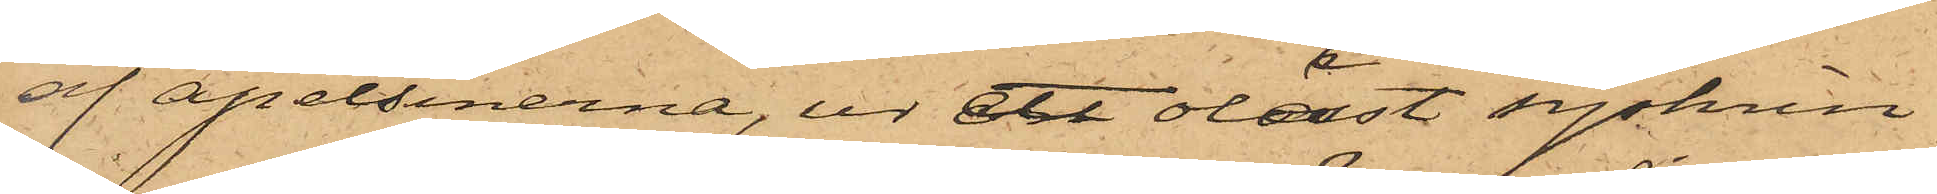af apelsinerna, ur ett olåst syskrin
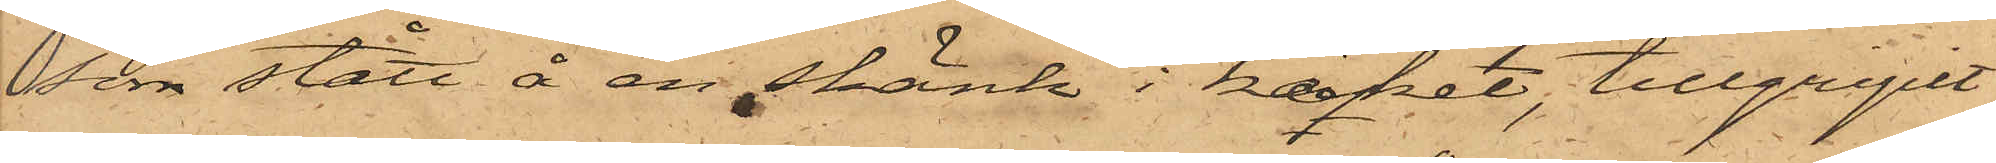som stått å en skänk i köket, tillgripit
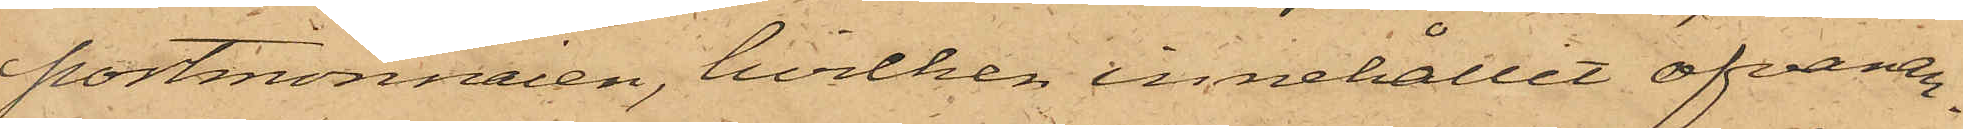portmonnaien, hvilken innehållit ofvanan¬
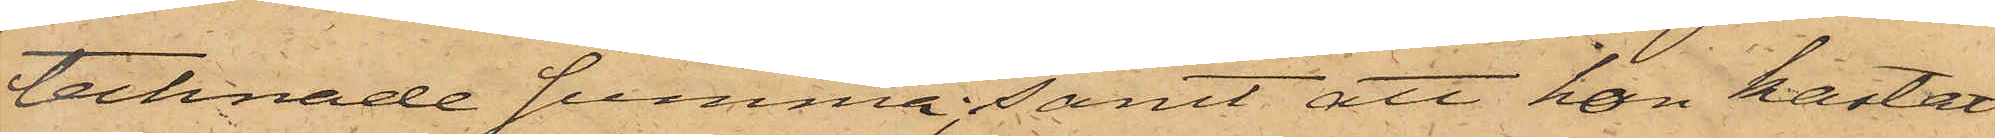tecknade summa; samt att hon kastat
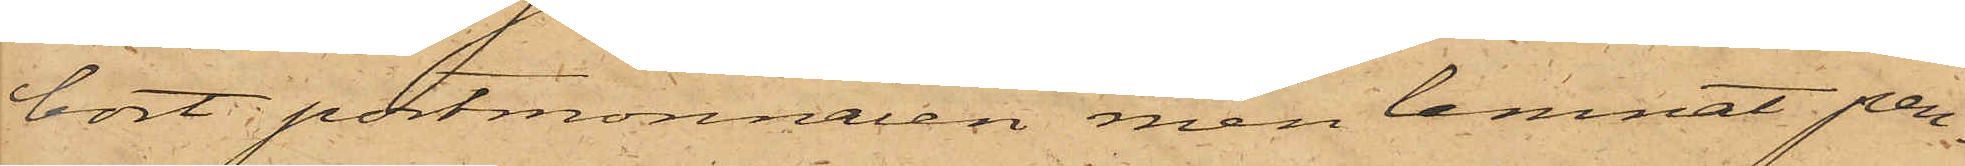bort portmonnaien men lemnat pen¬
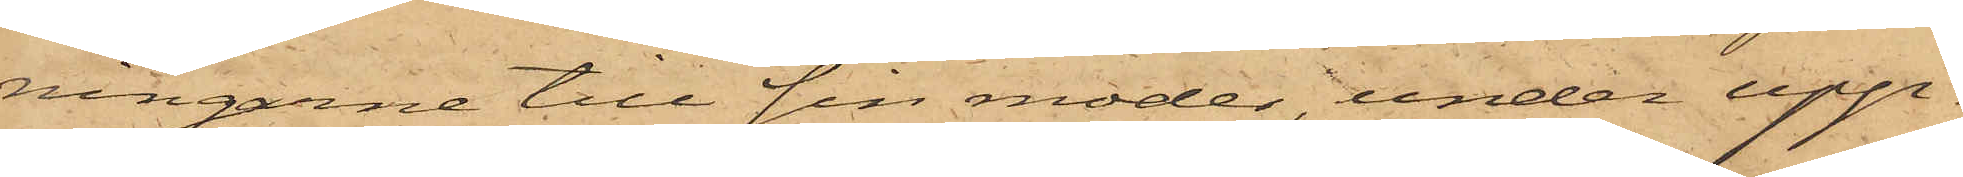ningarne till sin moder, under upp¬
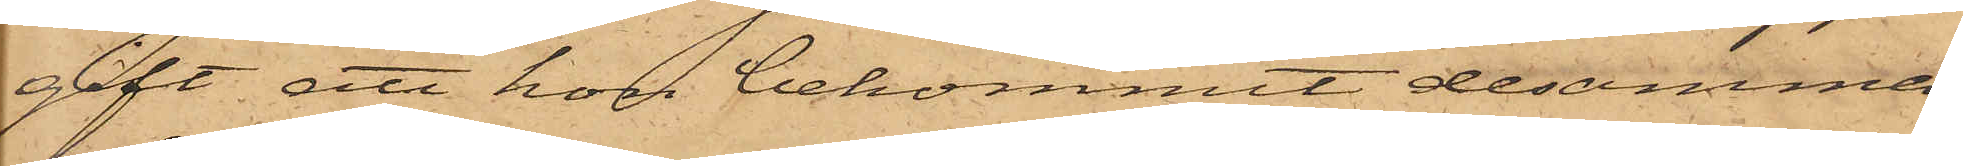gift att hon bekommit desamma
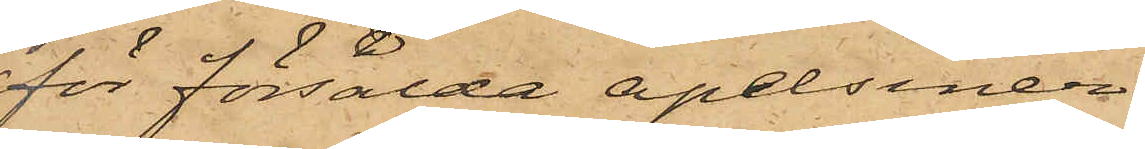för försålda apelsiner.
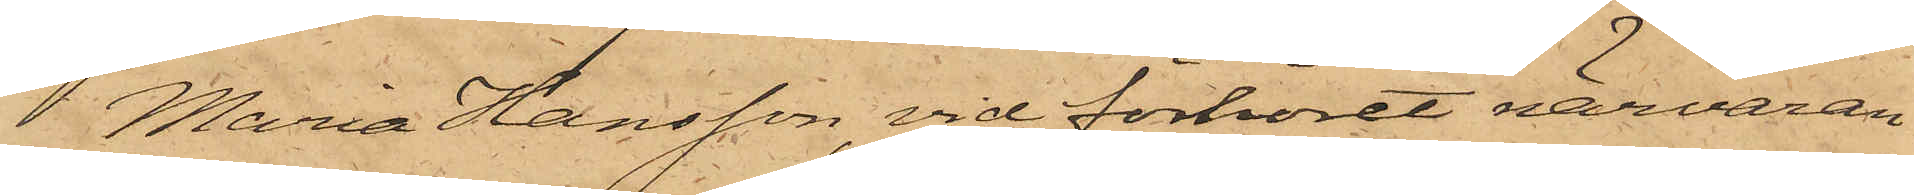Maria Hansson, vid förhöret närvaran¬
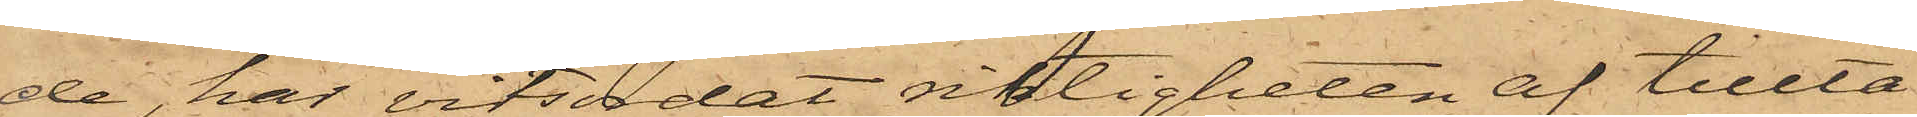de, har vitsodat riktigheten af tillta¬
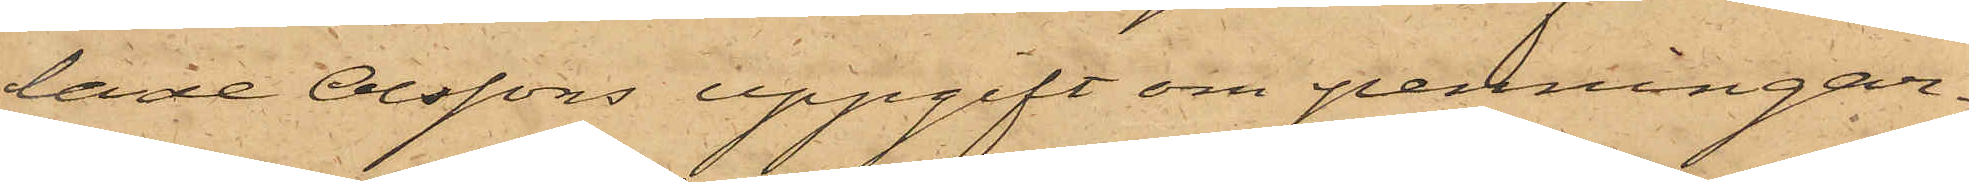lade Olssons uppgift om penningar¬
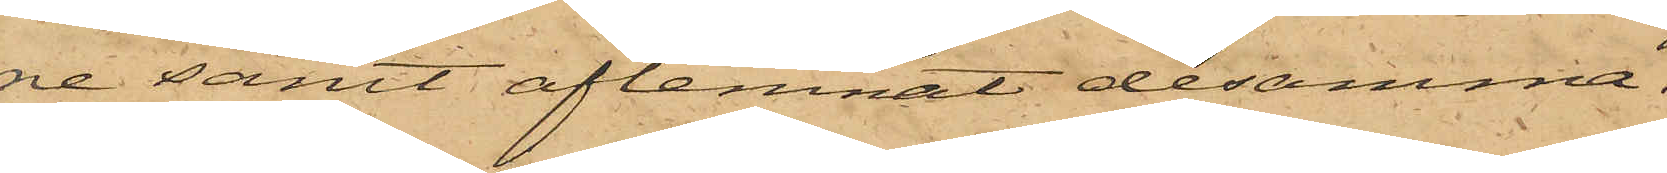ne samt aflemnat desamma.
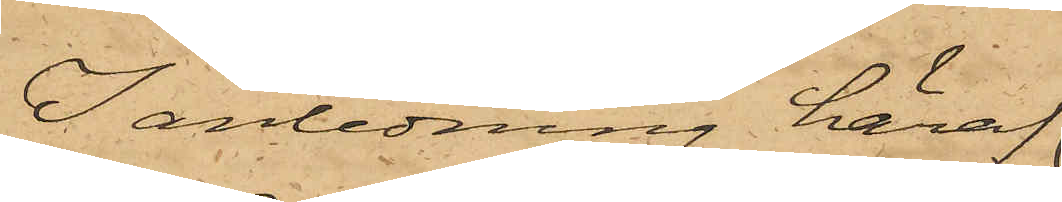I anledning häraf
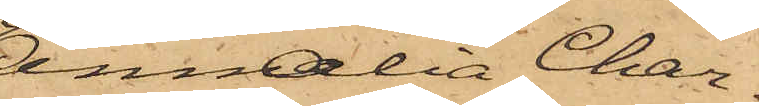Amalia Char¬
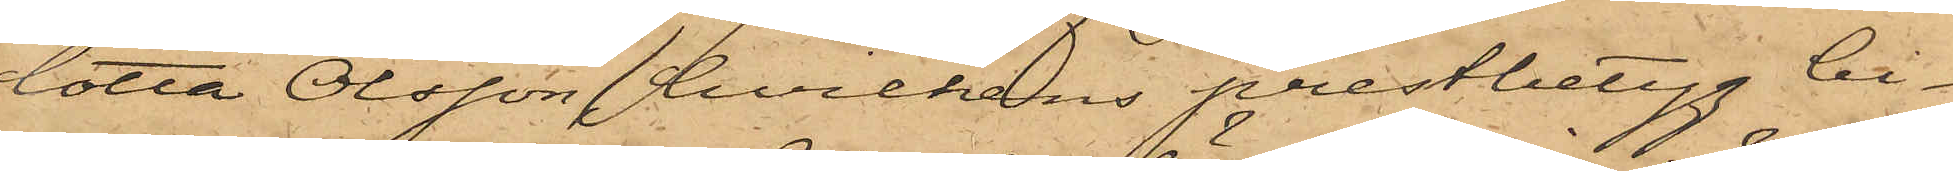lotta Olsson, hvilkens prestbetyg bi¬
